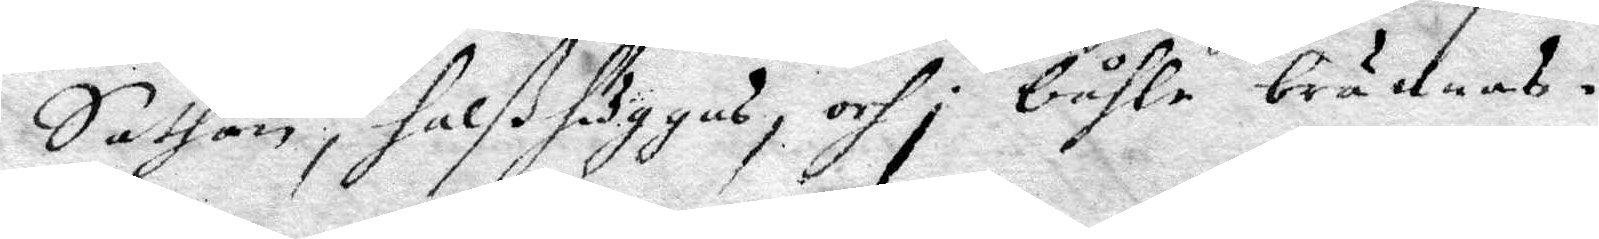Sathan, halßhuggas, och i båhle brännas.
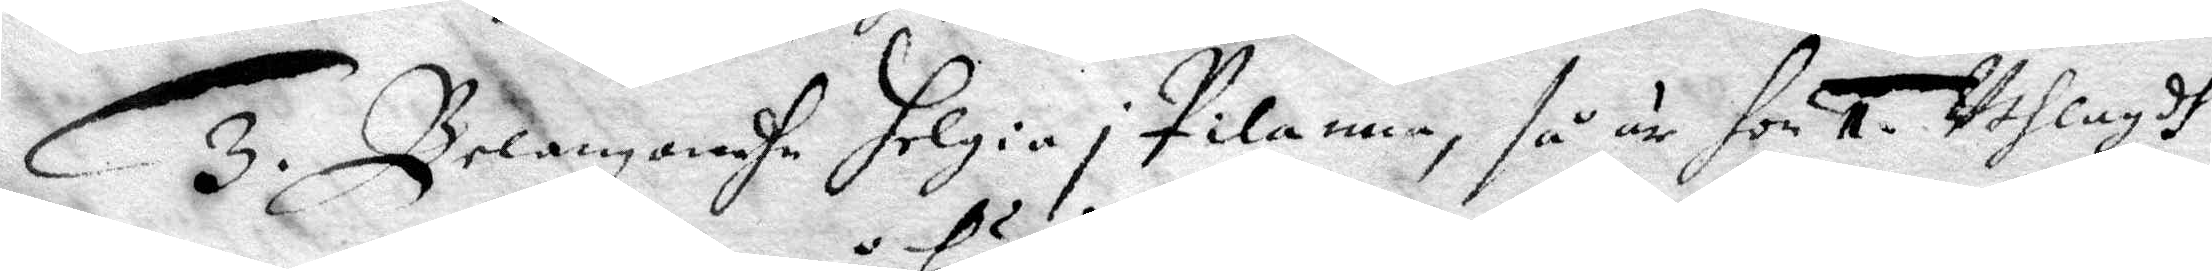3. Belangandhe Helgia i pilanna, så är hon 1. Uthlagdh
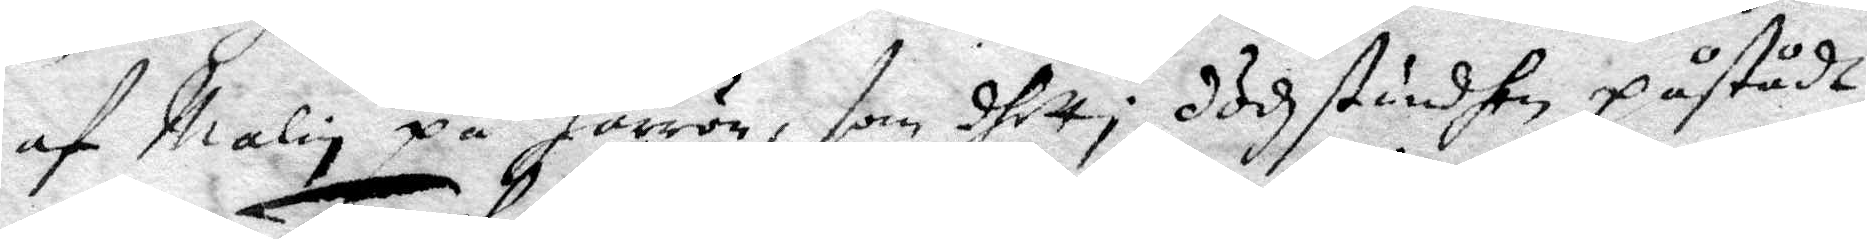af Malin på Härrön, som dhett i dödzstunden påstådt,
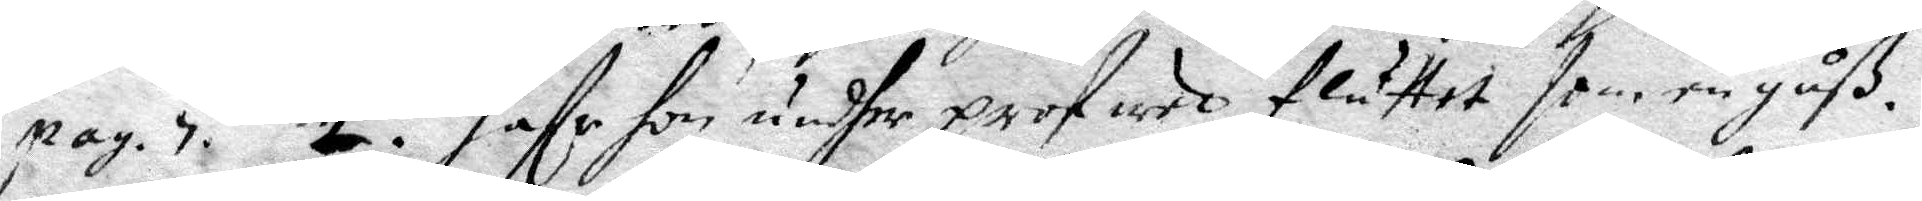pag. 7. 2. hafr hon under prof med fluttet som en gåß.
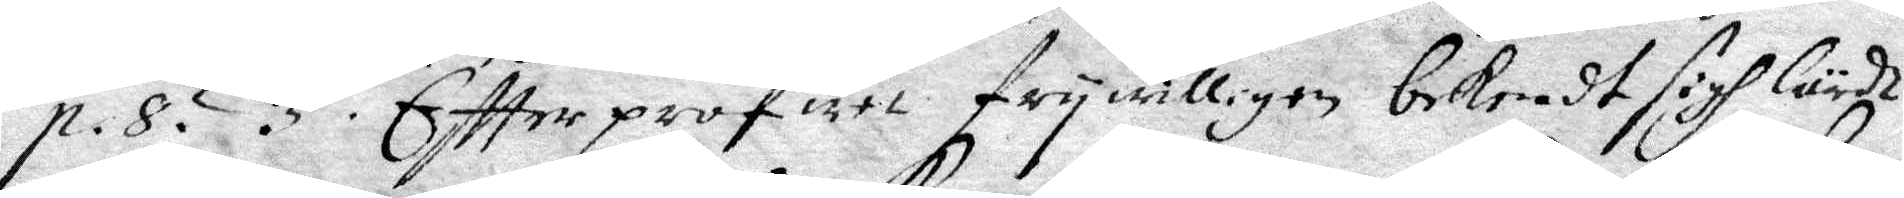p.8. 3. Eftter profutt frywilligen bekendt sigh lärdt
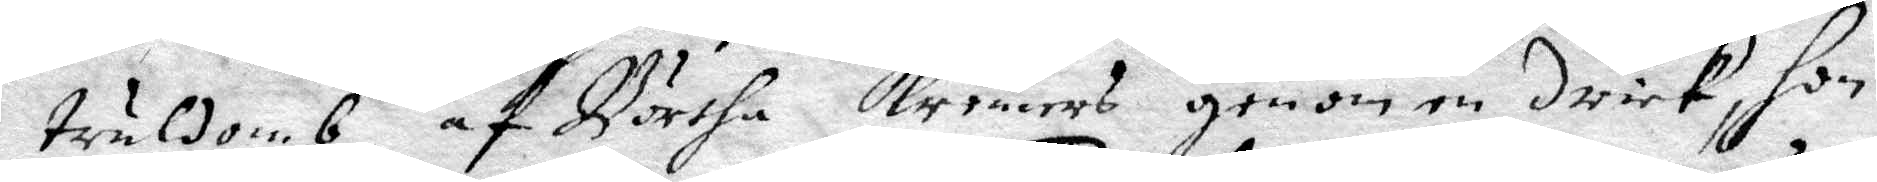truldomb af Börtha Kremers genom en drick, hon
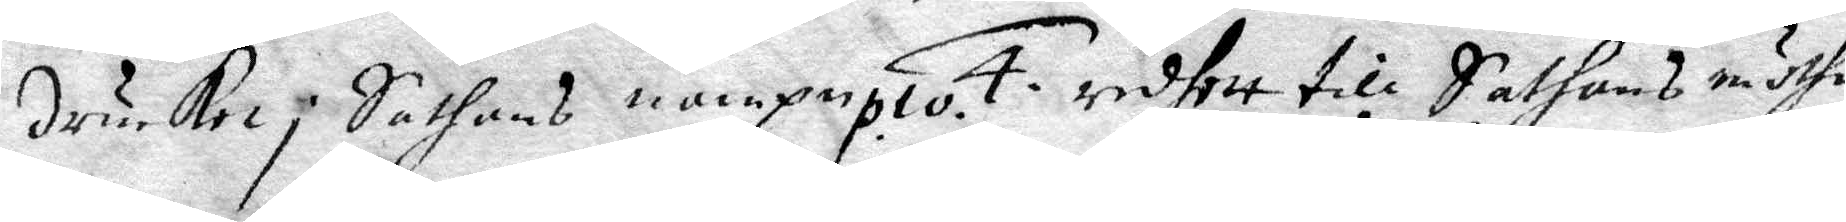drucket i Sathans nampn p. 10. 4. redett till Sathans möthe
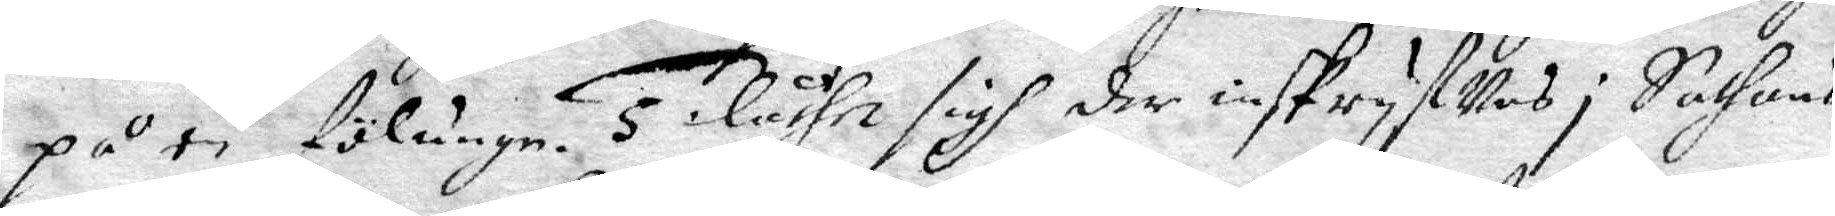på en fölunge. 5. Låthe sigh der inskrifwas i Sathans
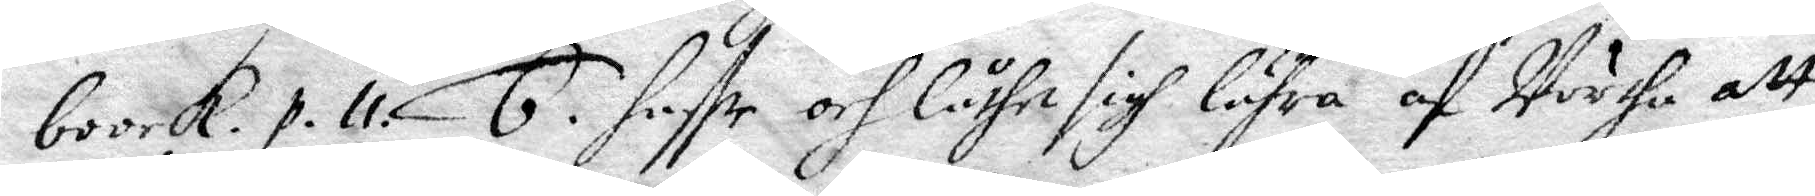boock. p. 11. 6. haffe och låthe sigh lähra af Börtha att
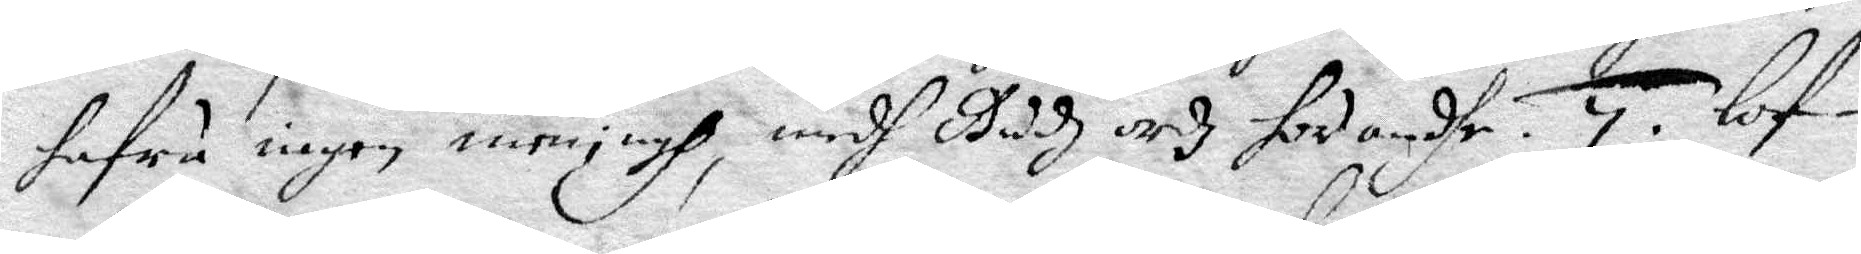hafru ingen meningh medh Gudh och hed andhe. 7. Lof¬
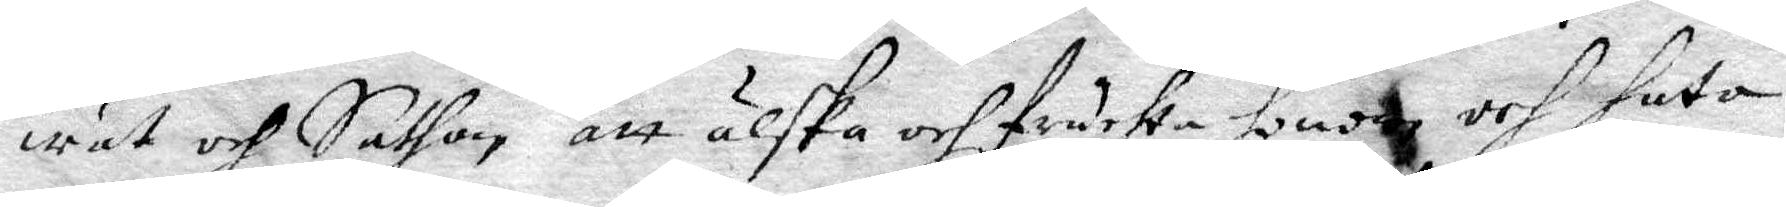wat och Sathan att älska och fruchta honom och hata
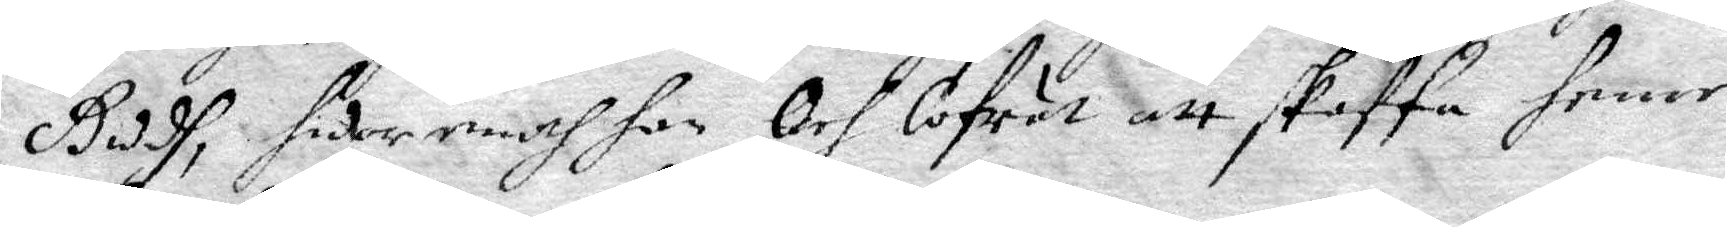Gudh, sidor mehr har och Lofuat att skaffa henne
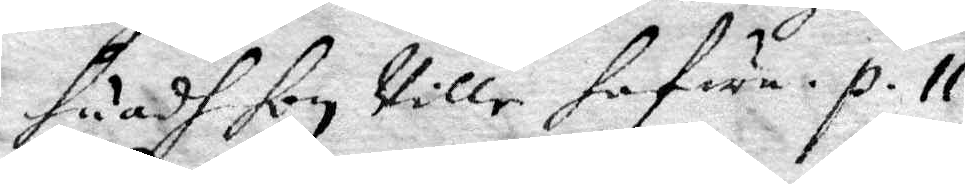huadh hon ville hafua. p.11.
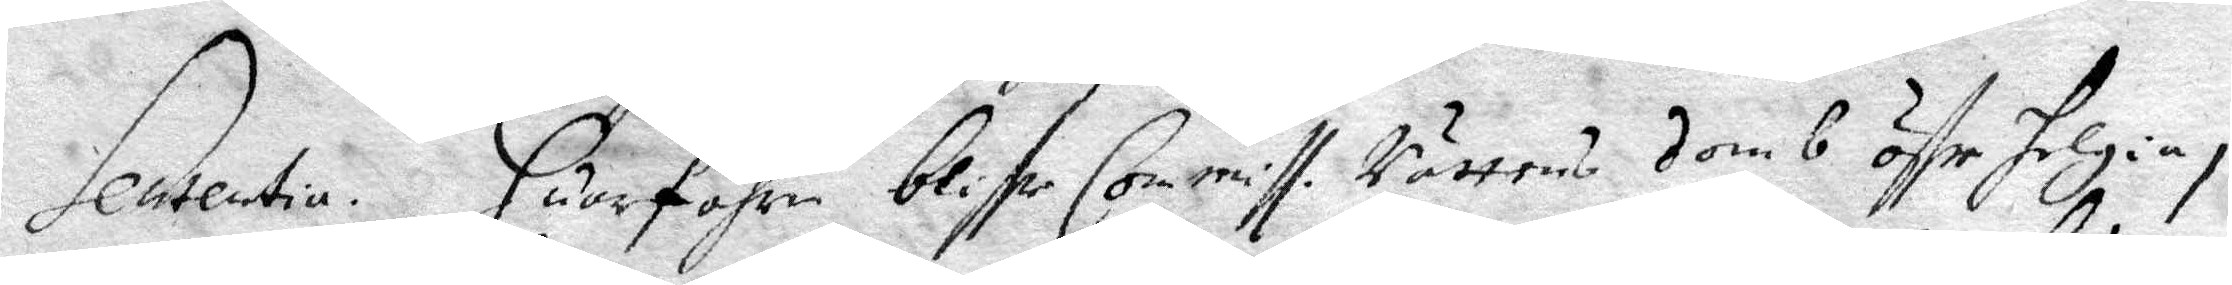Sententia. Huarföhre blifve Commiss. Rättens domb öffr Helgia i
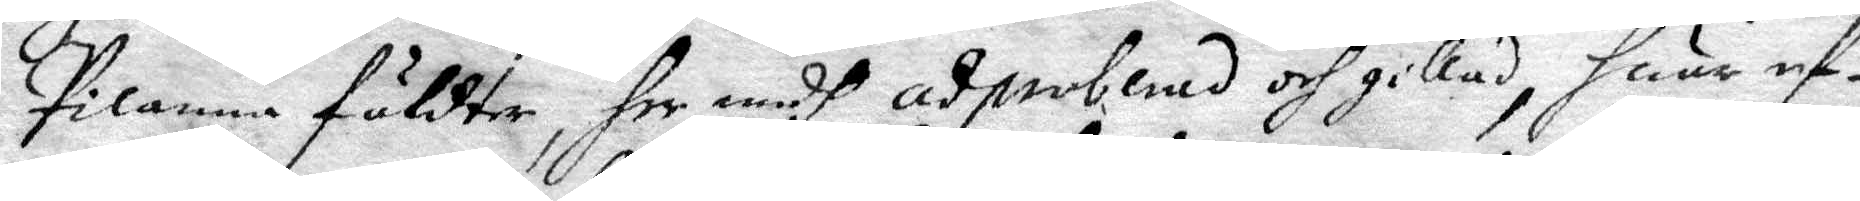Pilanna fäldter her medh adproberad och gillad, huru ef¬
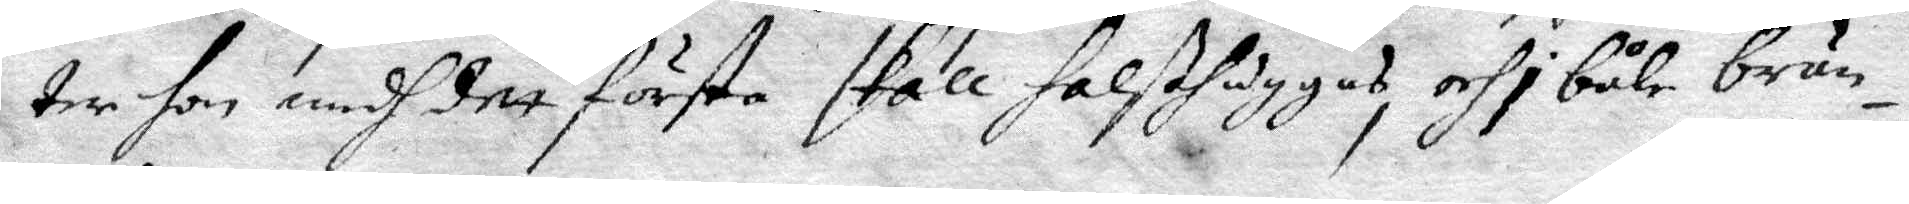ter hon medh dett första skall halshuggas, och i båle brän¬
